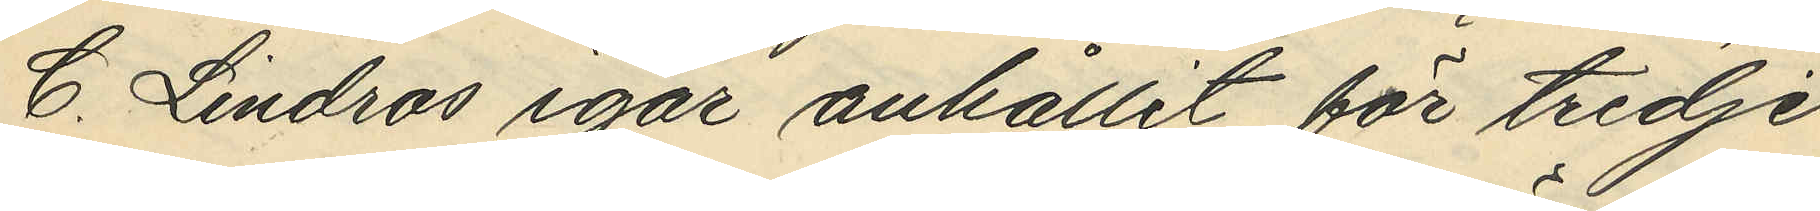C. Lindros igår anhållit för tredje
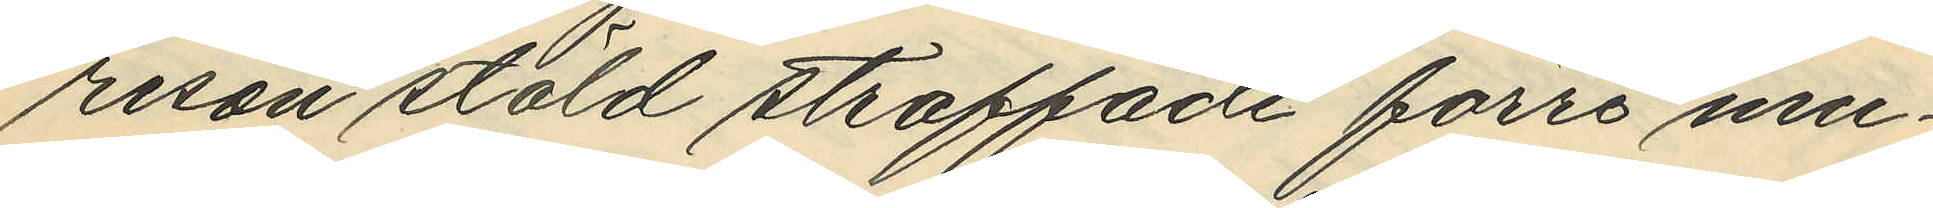resan stöld straffade förre mu¬
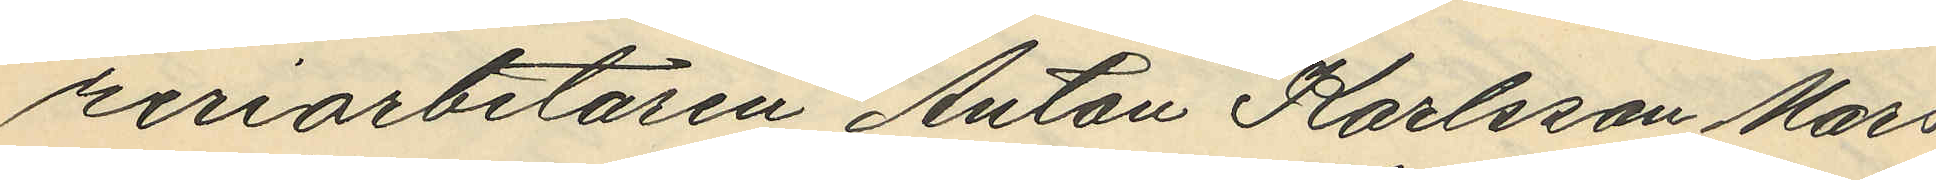reriarbetaren Anton Karlsson Mars
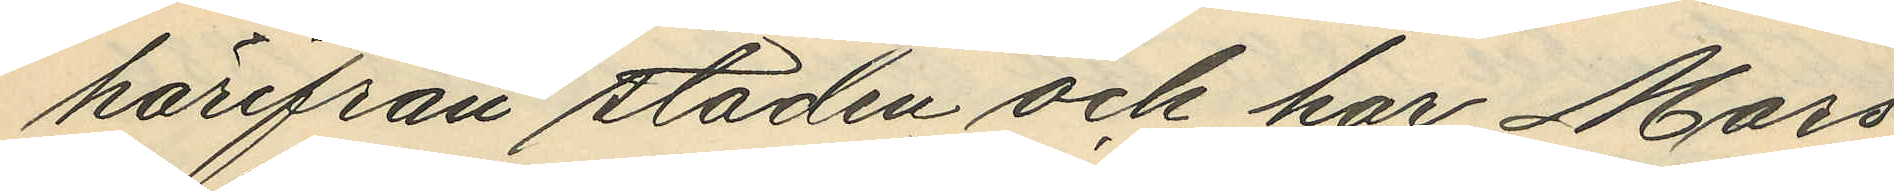härifrån staden och har Mars
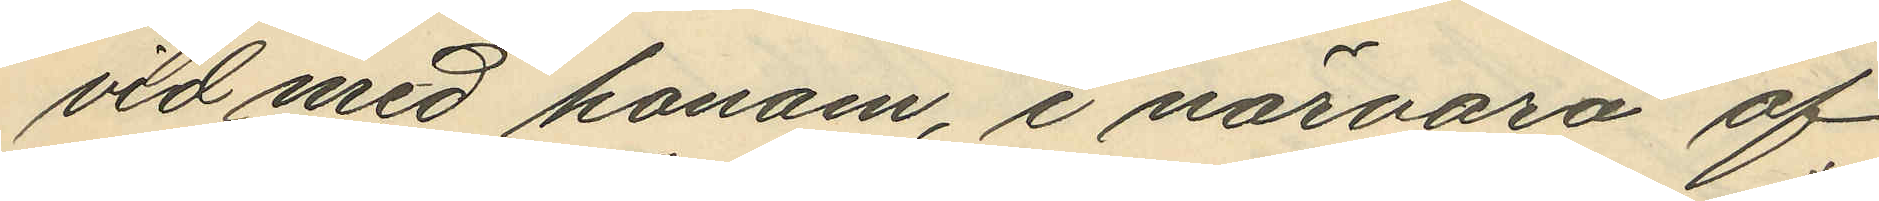vid med honom, i närvaro af
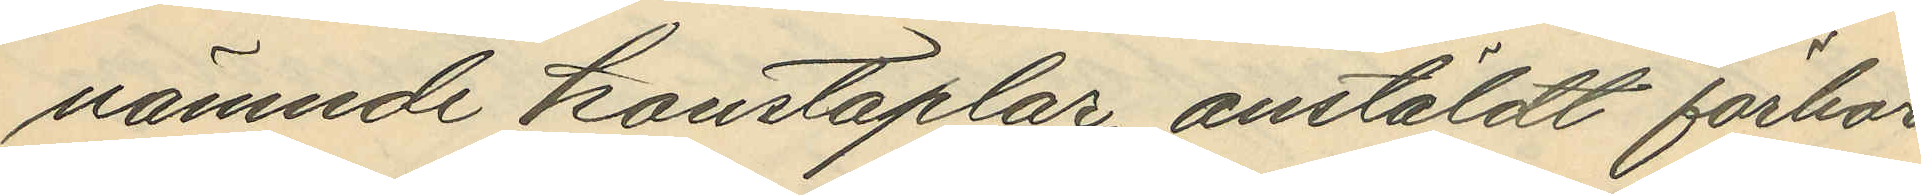nämnde konstaplar, anstäldt förhör
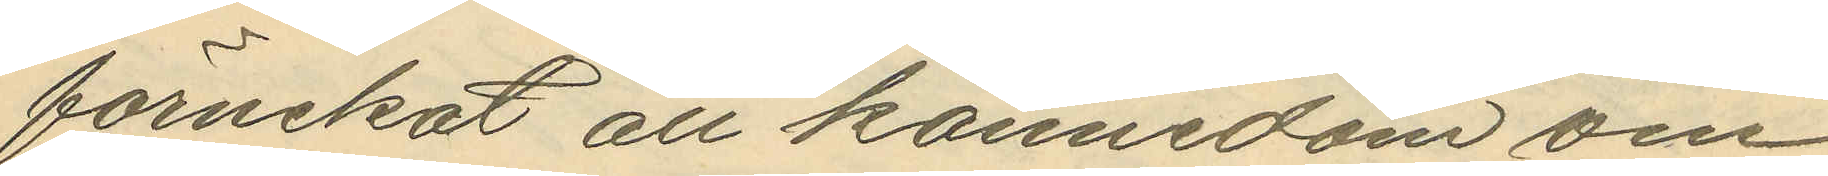förnekat all kännedom om
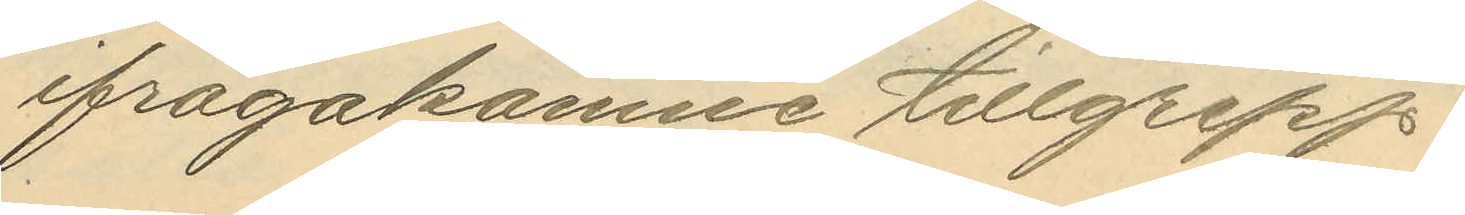ifrågakomne tillgrepp.
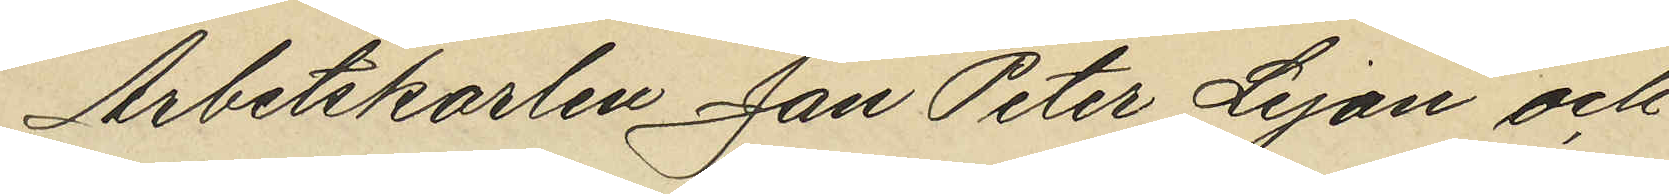Arbetskarlen Jan Peter Lejon och
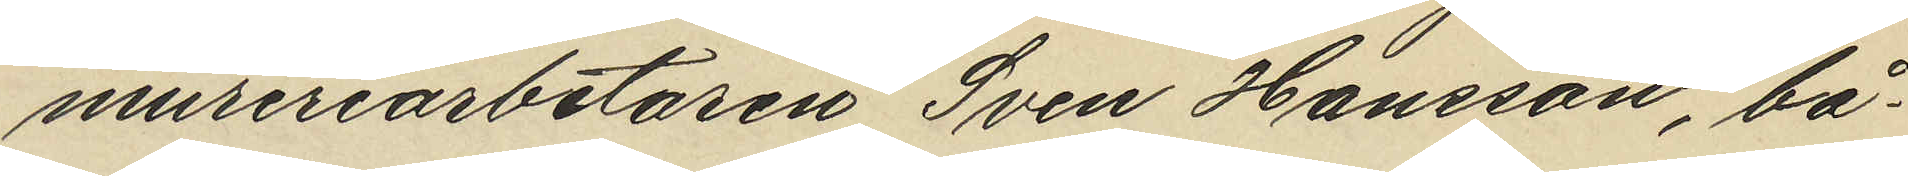mureriarbetaren Sven Hansson, bå¬
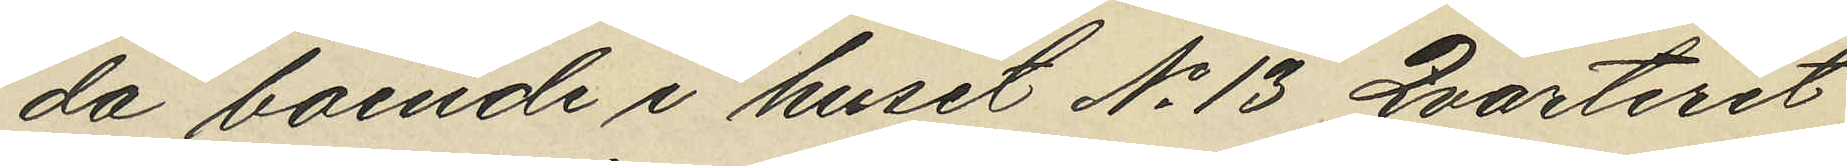da boende i huset No 13 Qvarteret
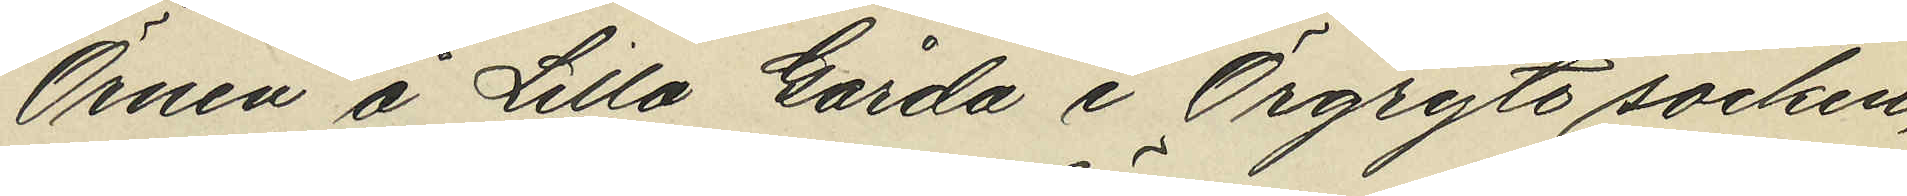Örnen å Lilla Gårda i Örgryte socken,
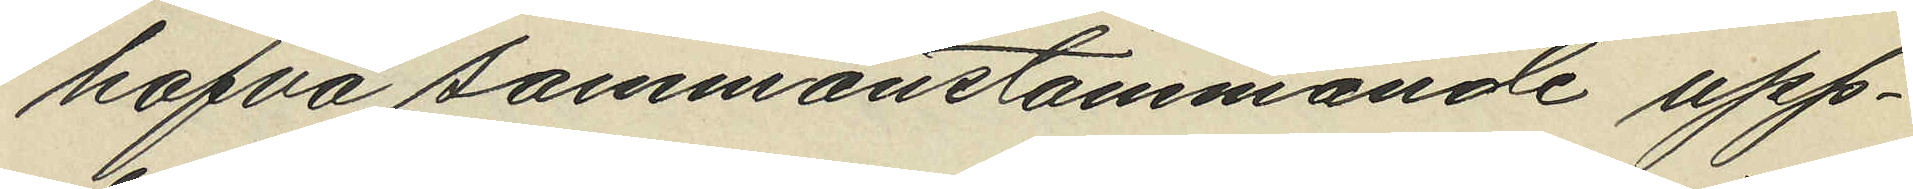hafva sammanstämmande upp¬
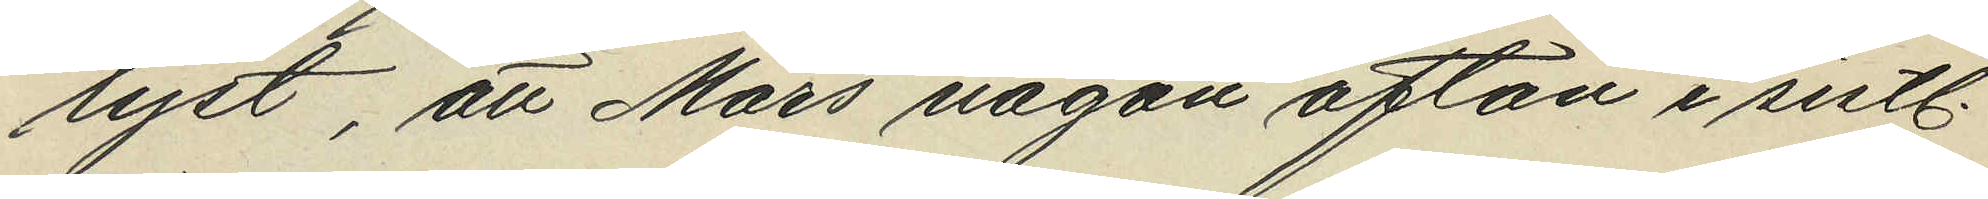lyst, att Mars någon afton i sistl.
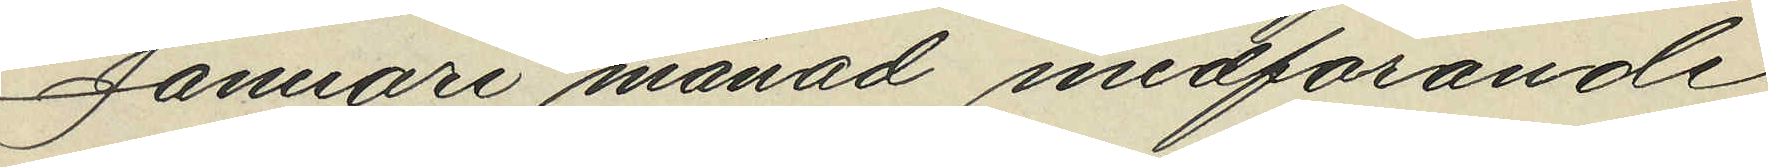Januari månad medförande
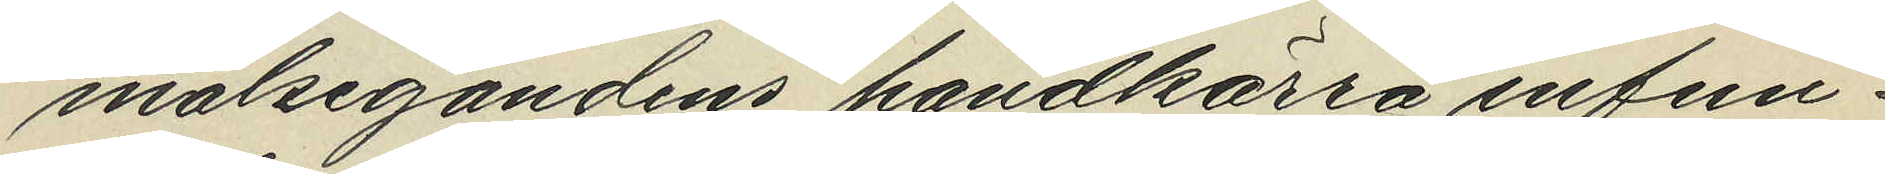målsegandens handkärra infun¬
